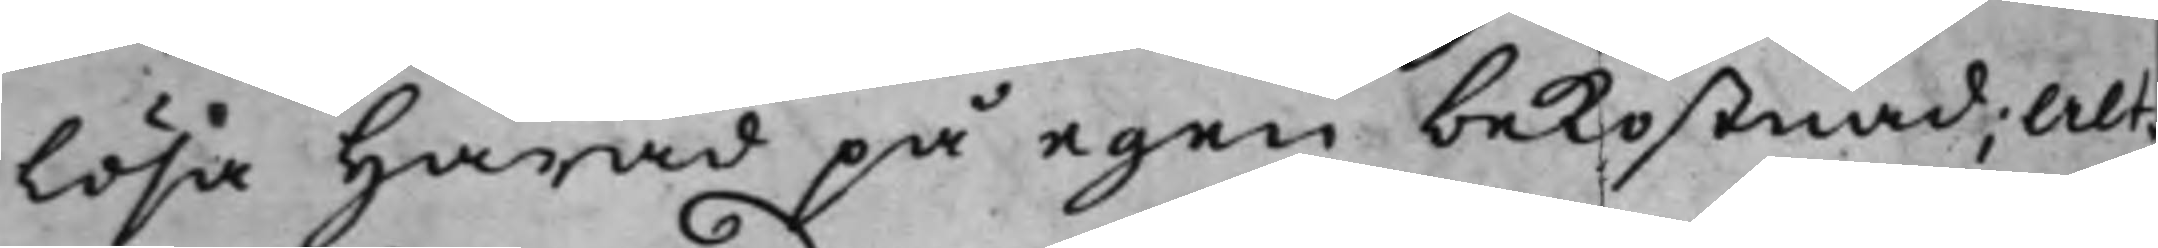Lösa Härad på egen bekostnad; Alt¬
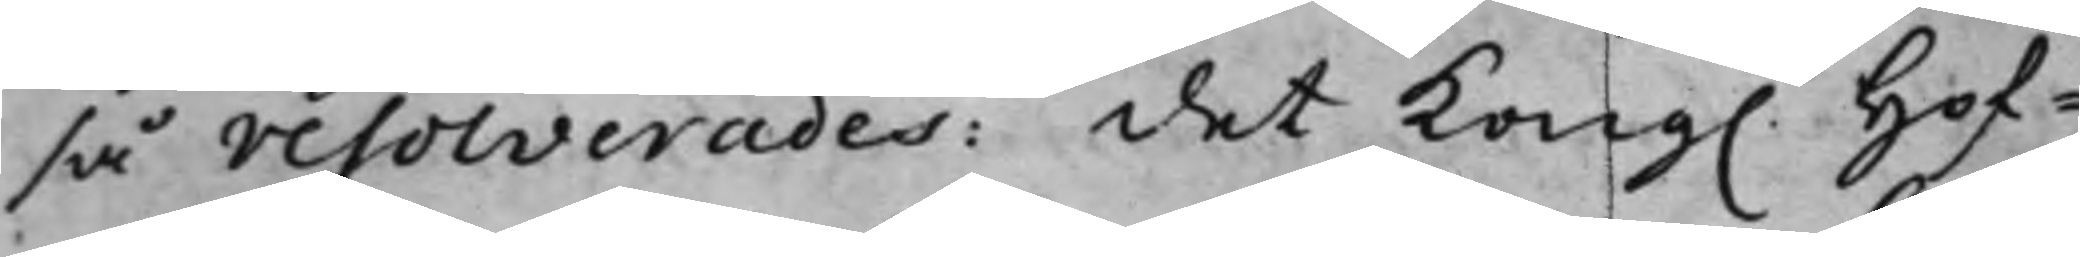så resolverades: det Kong. Hof¬ 
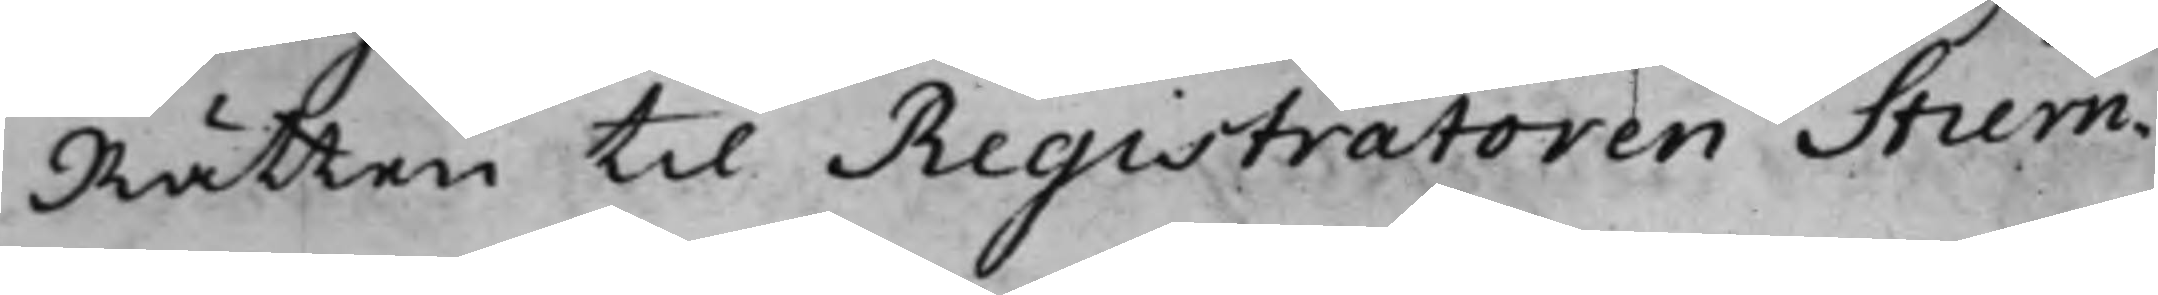Rätten til Registratoren Stiern¬
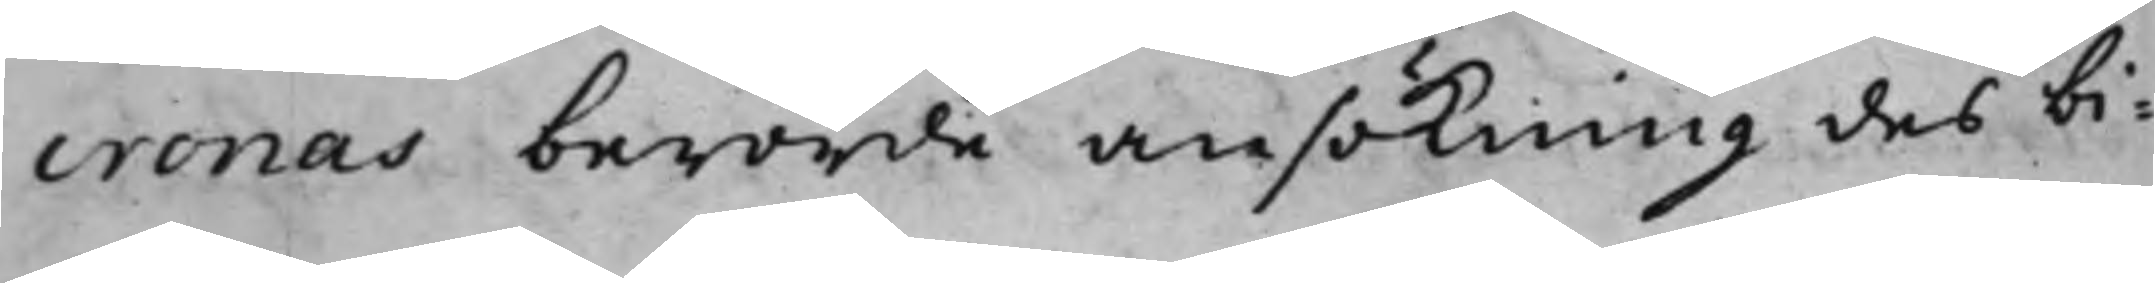cronas berörde ansökning des bi¬
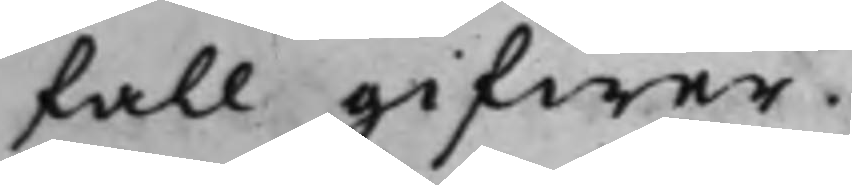fall gifwer.
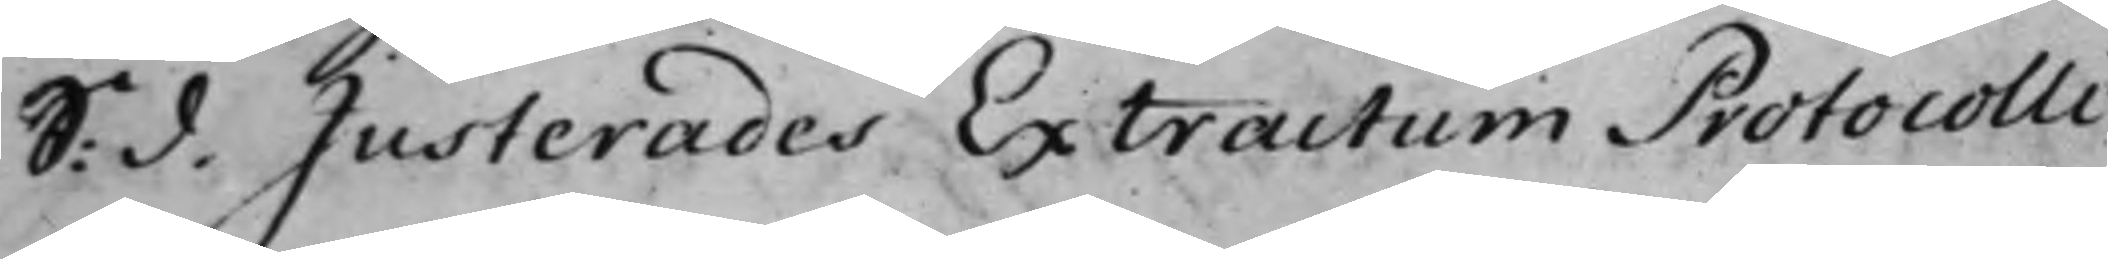S. d. Justerades Extractum Protocolli
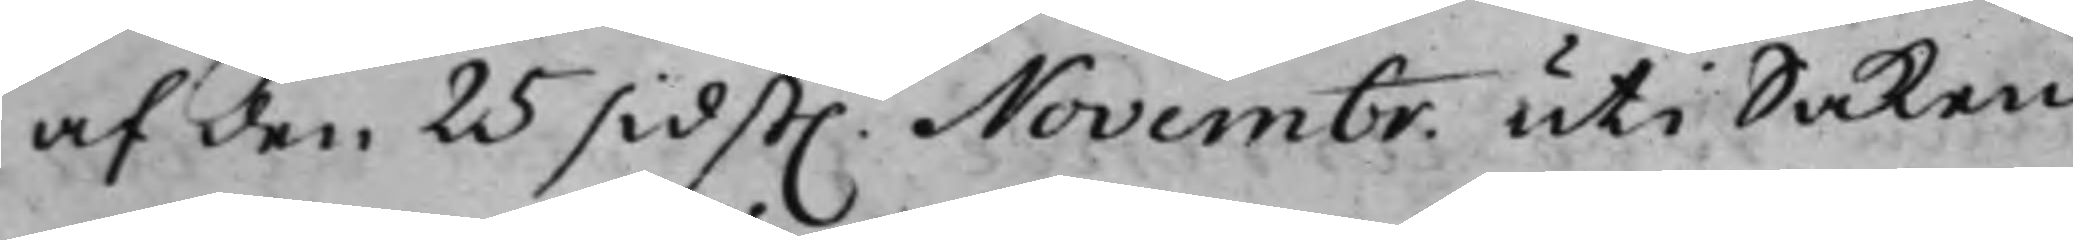af den 25 sidst. Novembr. uti Saken
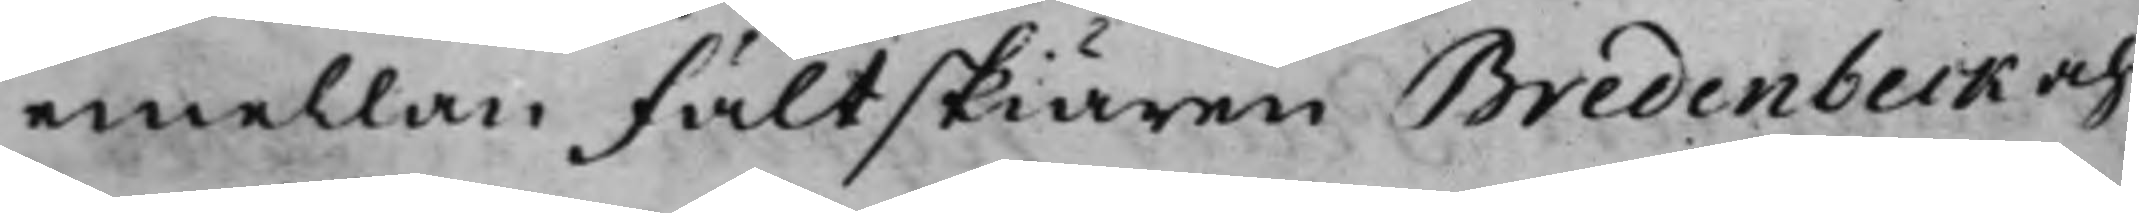emellan Fältskiären Bredenbeck och
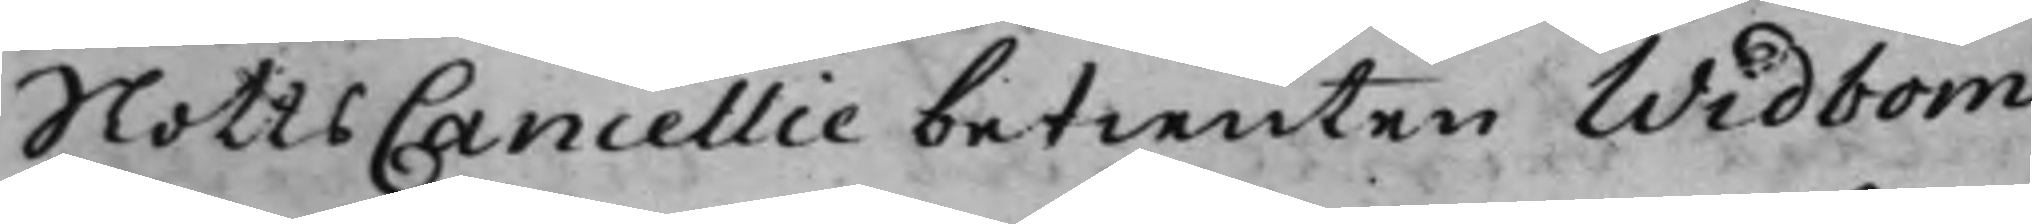SlottsCancellie betienten Widbom.
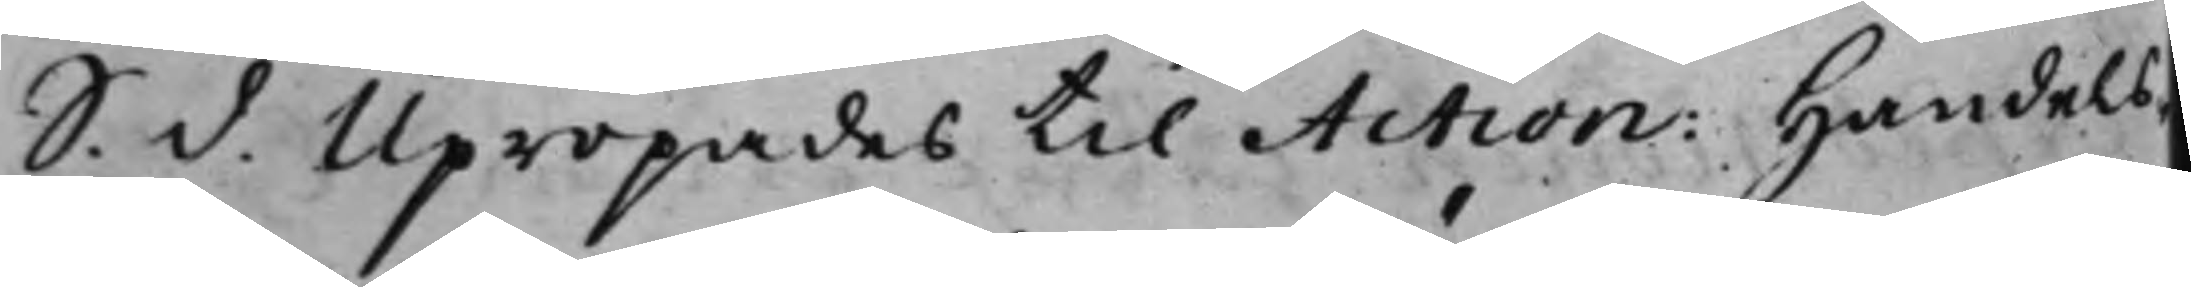S. d. Upropades till Action: Handels¬
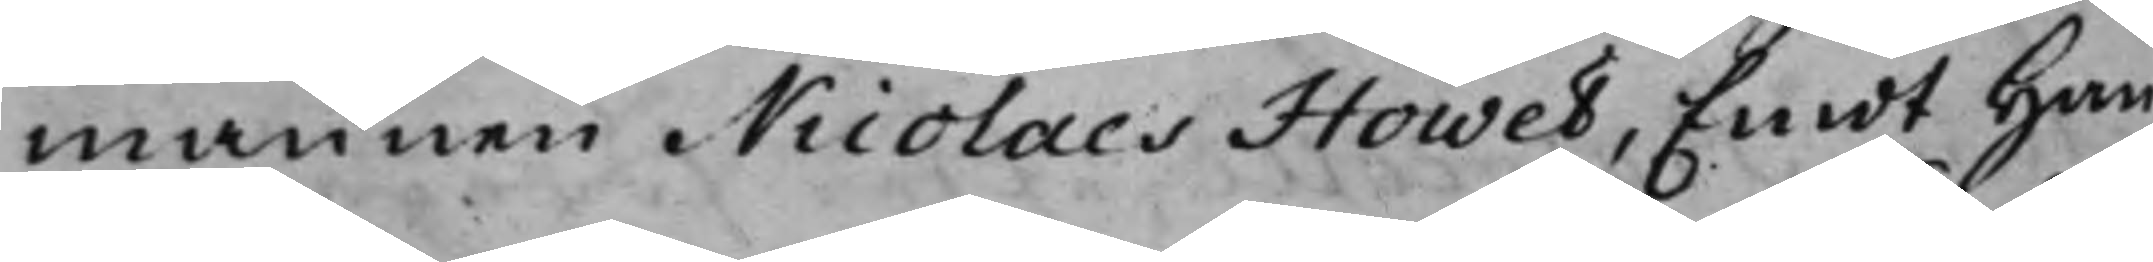mannen Nicolaes Höwel, Emot han¬
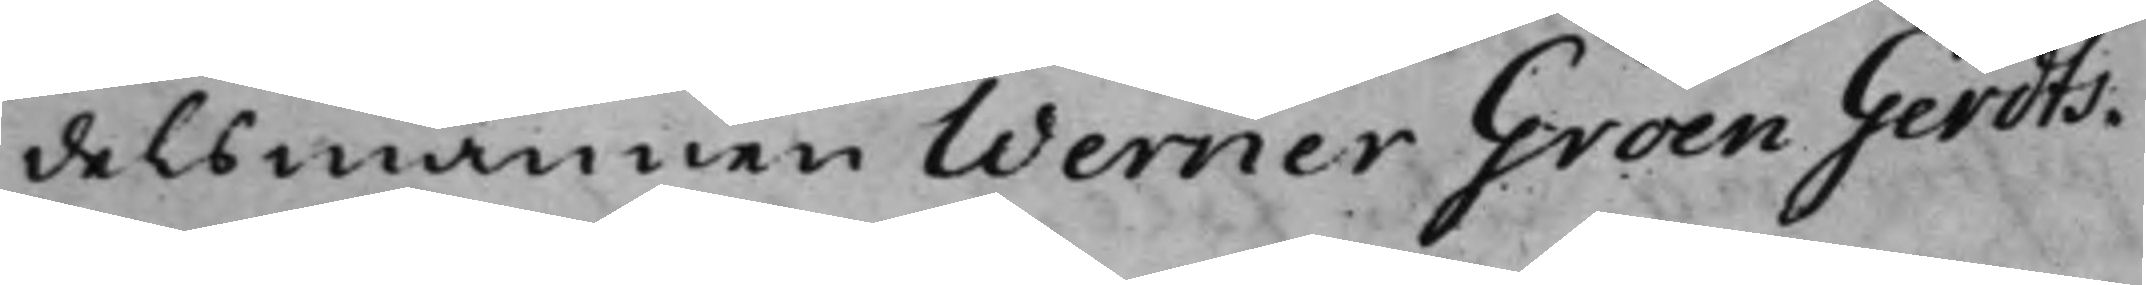delsmannen Werner Groen Gerdts¬
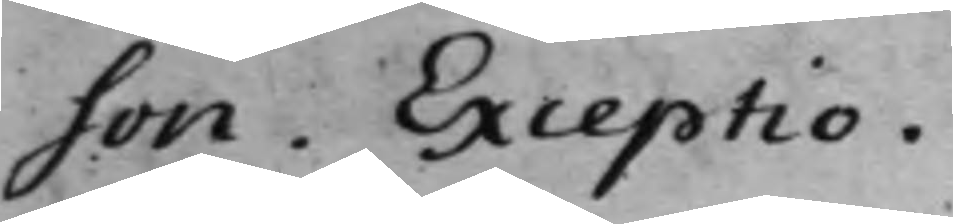son. Exceptio.
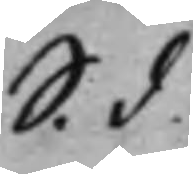S. d.
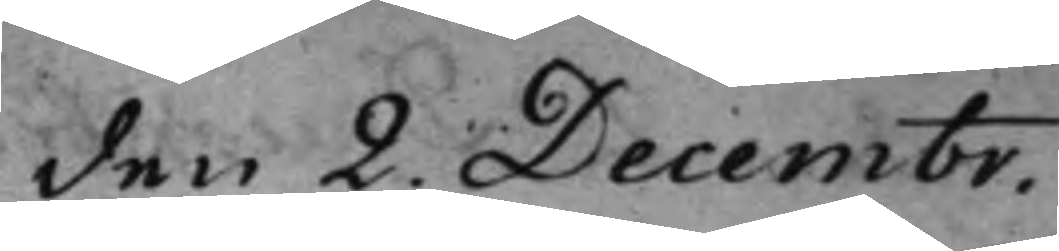den 2. Decembr.
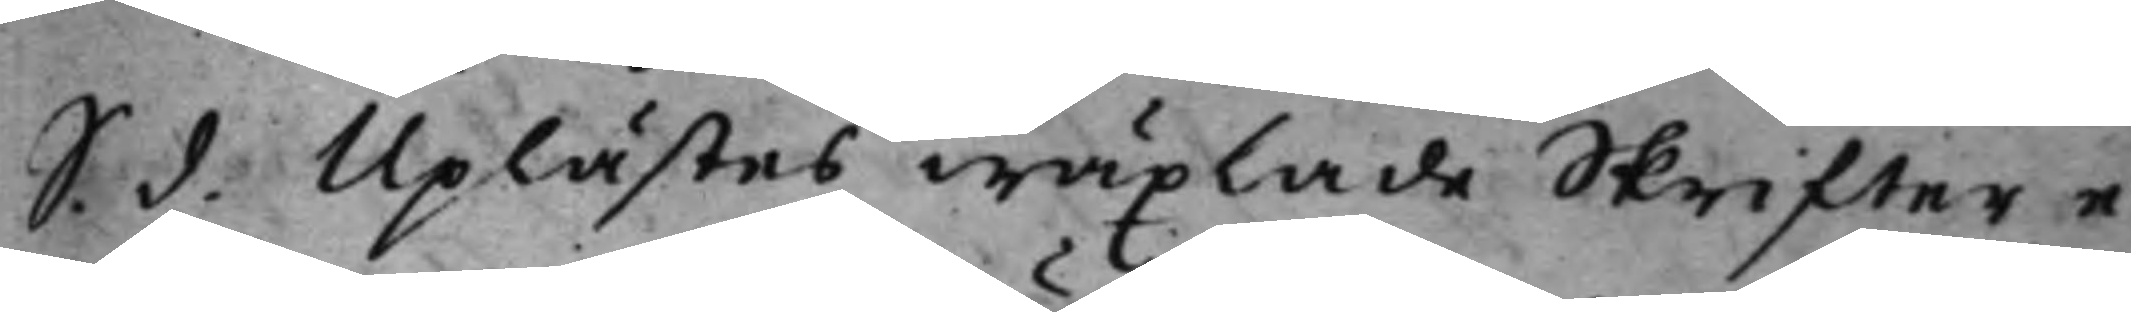S. d. Uplästes wäxlade Skrifter e¬
